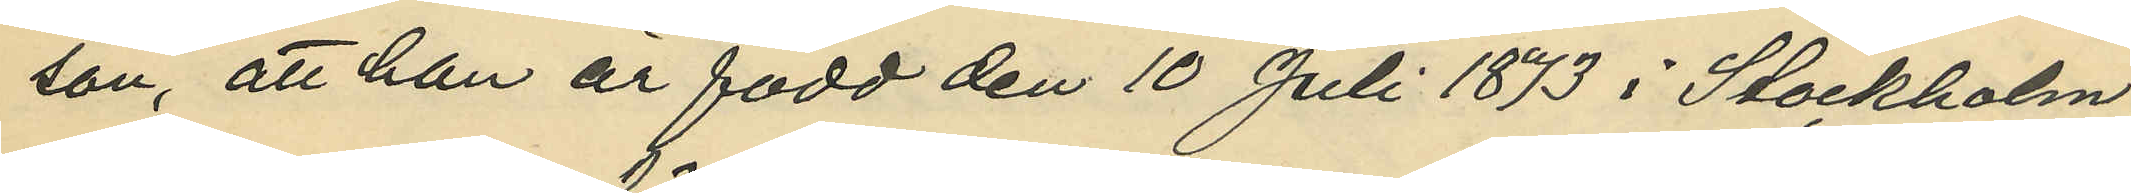son, att han är född den 10 Juli 1873 i Stockholm;
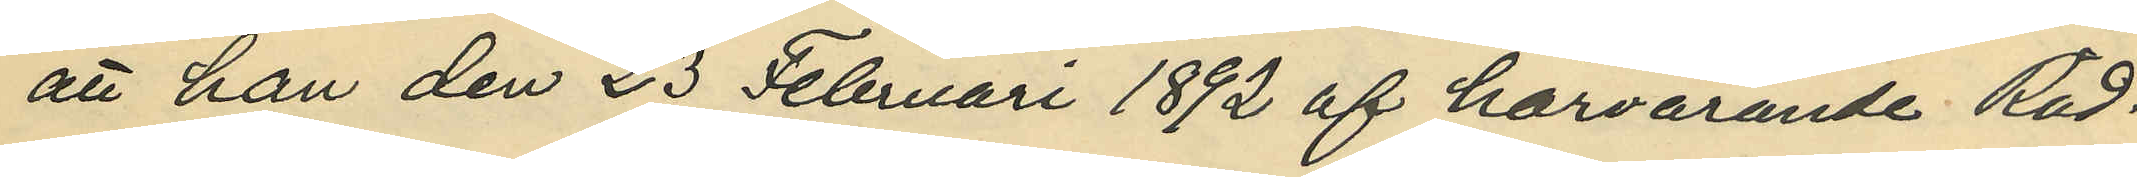att han den 23 Februari 1892 af härvarande Råd¬
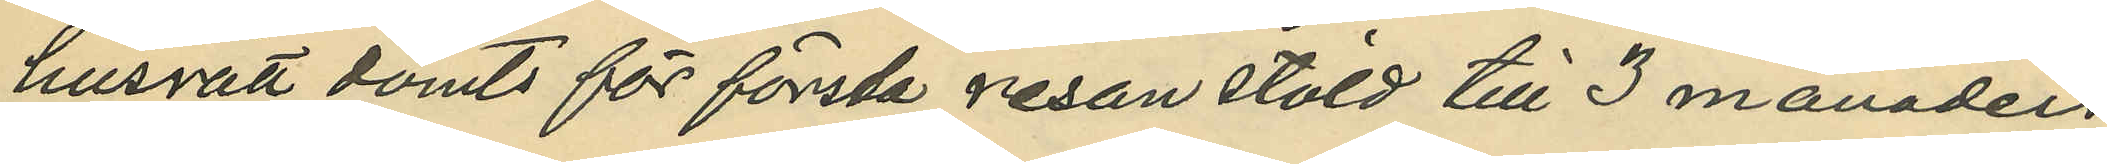husrätt dömts för första resan stöld till 3 månaders
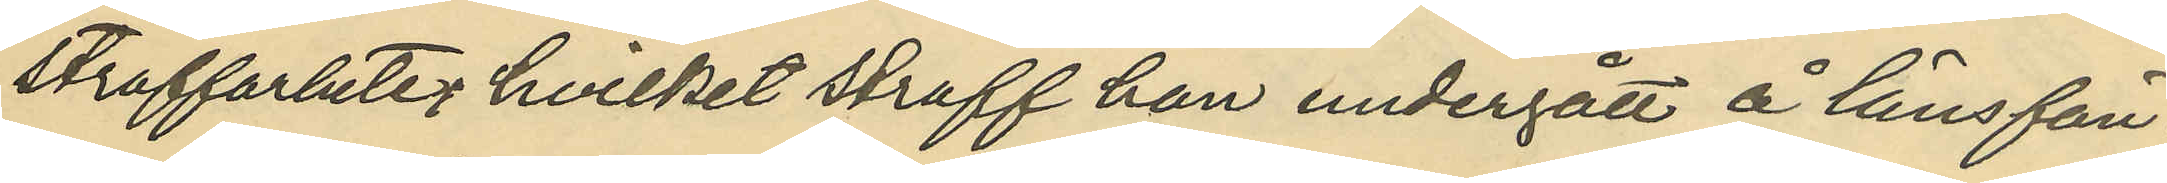straffarbete, hvilket straff han undergått å länsfän¬
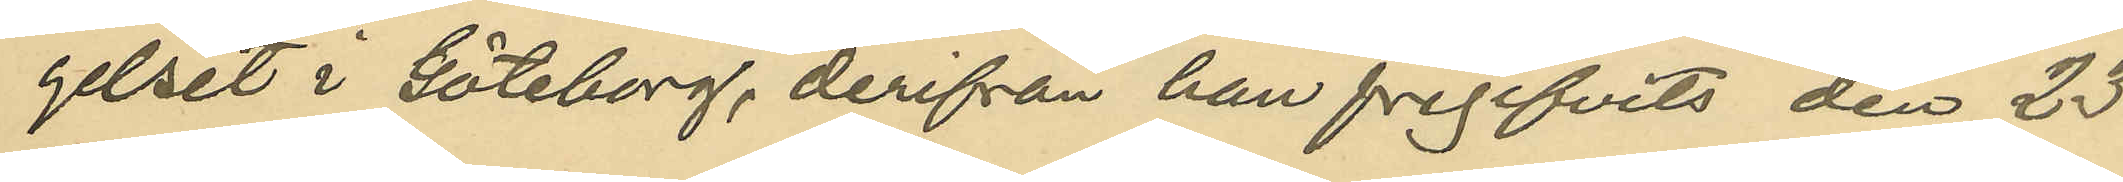gelset i Göteborg, derifrån han frigifvits den 23
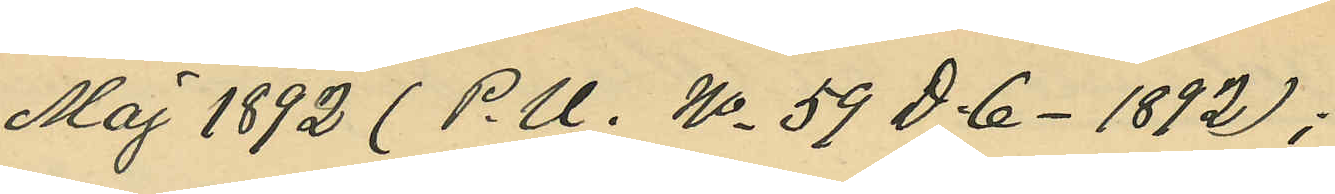Maj 1892 (P. U. No 59 D. 6 - 1892);
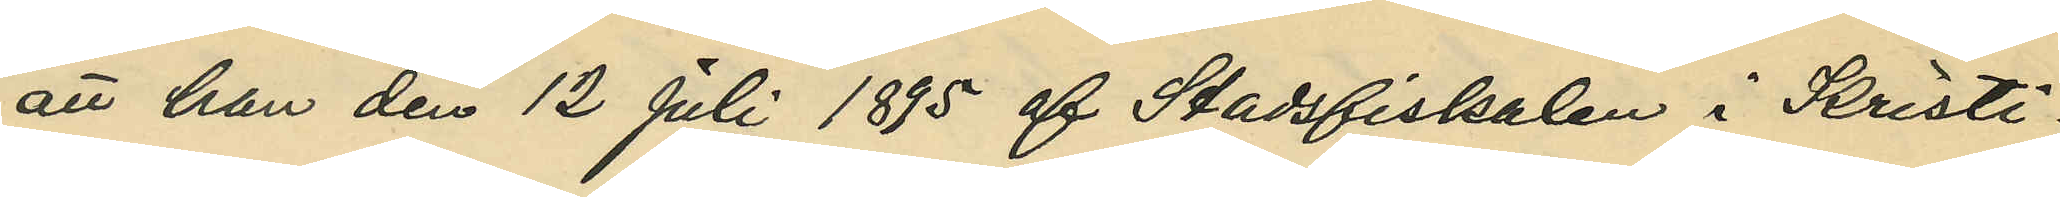att han den 12 Juli 1895 af Stadsfiskalen i Kristi¬
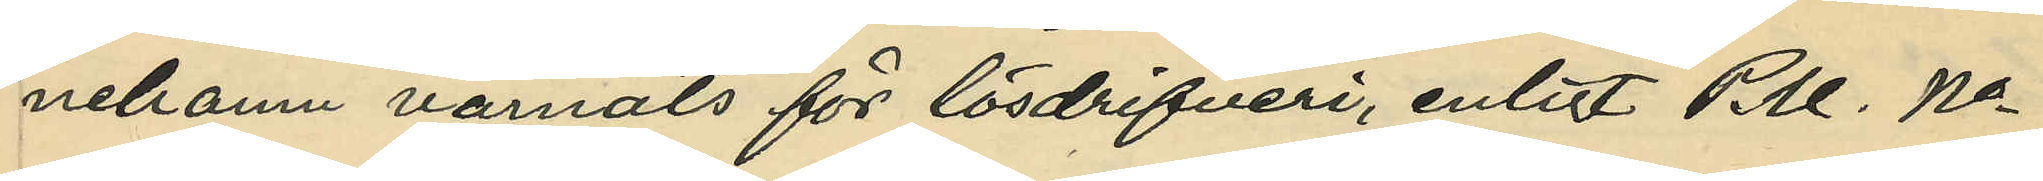nehamn varnats för lösdrifvei, enligt P. U. No
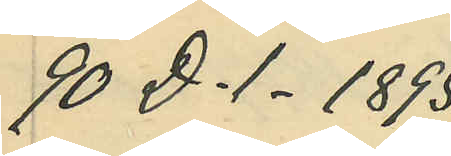90 D. 1 - 1895;
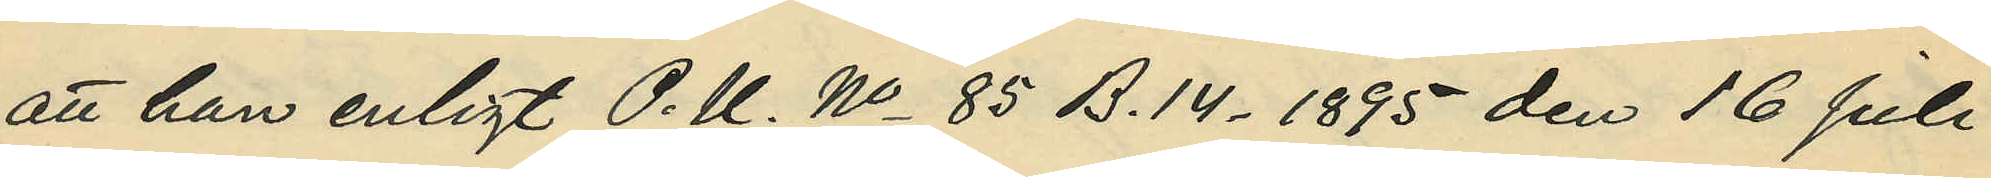att han enligt P. U. No 85 B. 14 - 1895 den 16 Juli
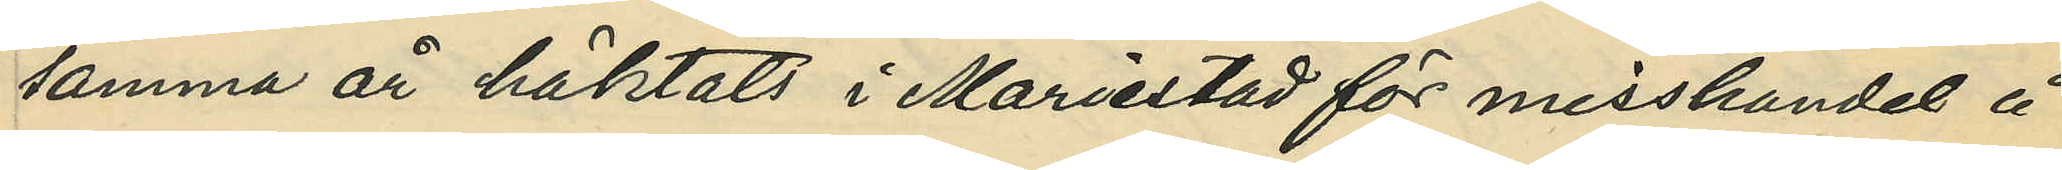samma år häktats i Mariestad för misshandel å
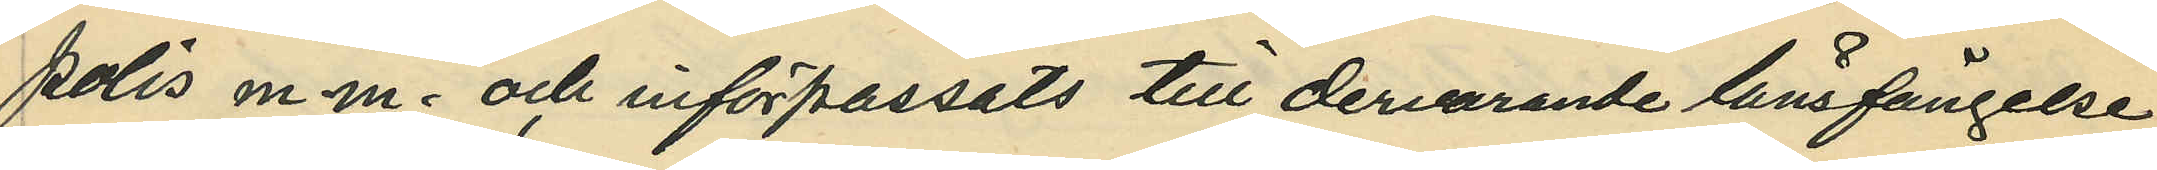polis m. m. och införpassats till dervarande länsfängelse;
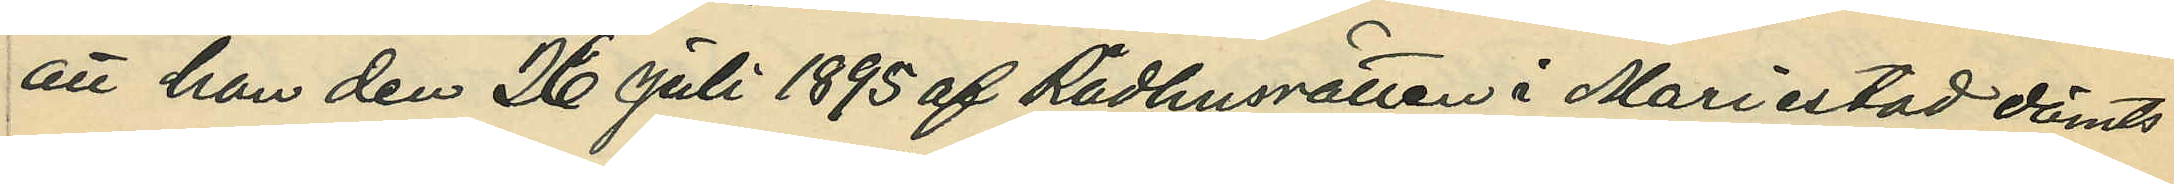att han den 26 Juli 1895 af Rådhusrätten i Mariestad dömts
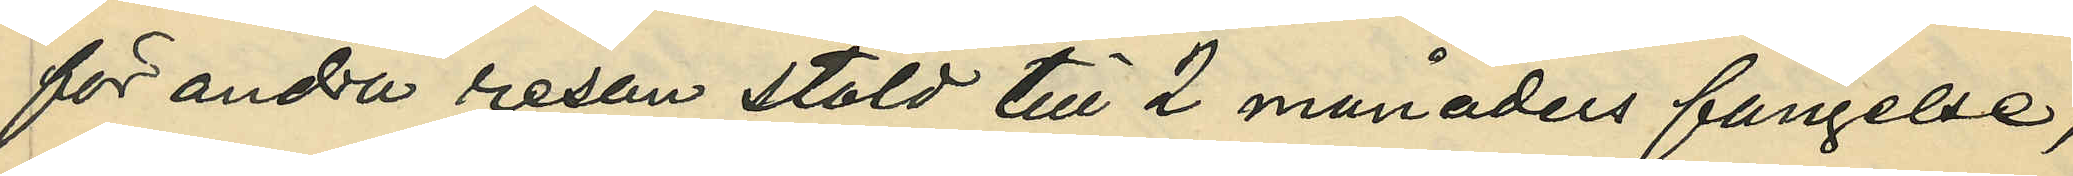för andra resan stöld till 2 månaders fängelse,
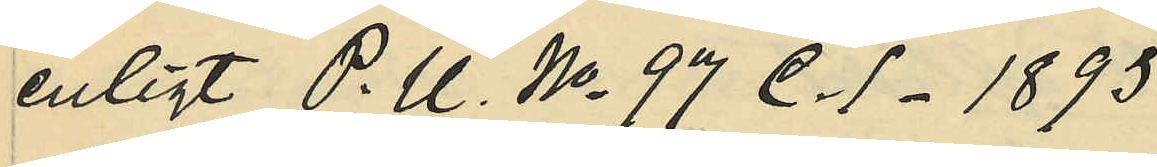enligt P. U. No 97 C. 1 - 1895;
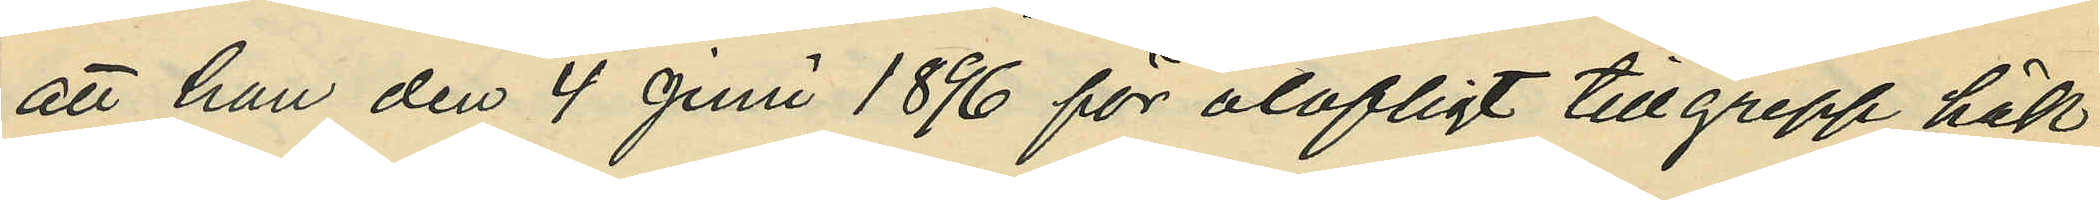att han den 4 Juni 1896 för olofligt tillgrepp häk¬
